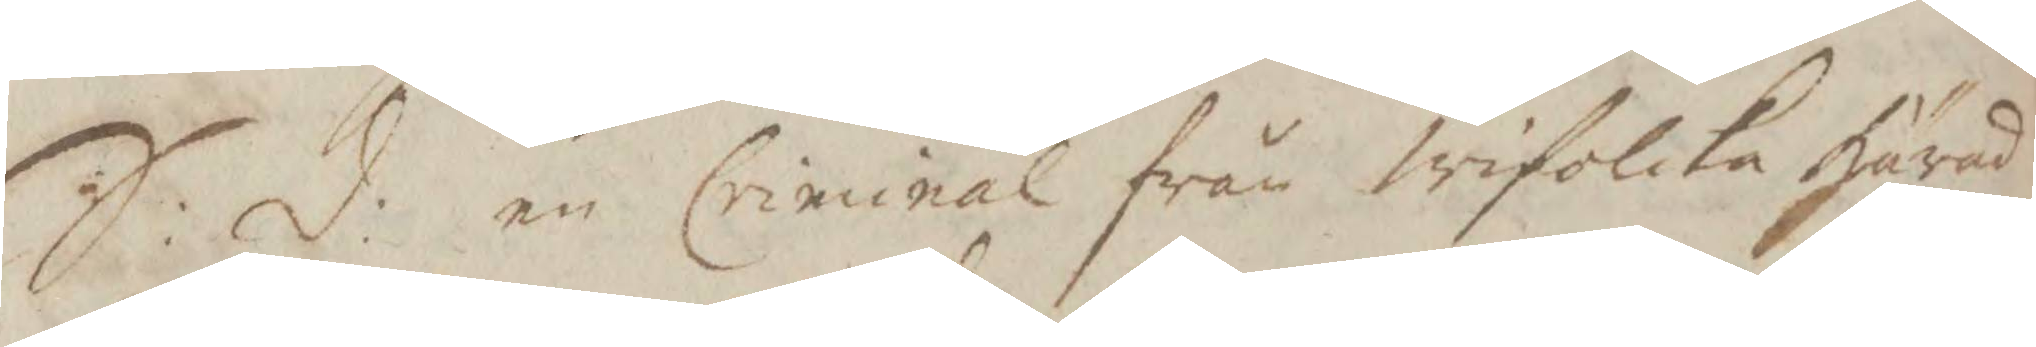S: d: en Criminal från Wifolcka härad
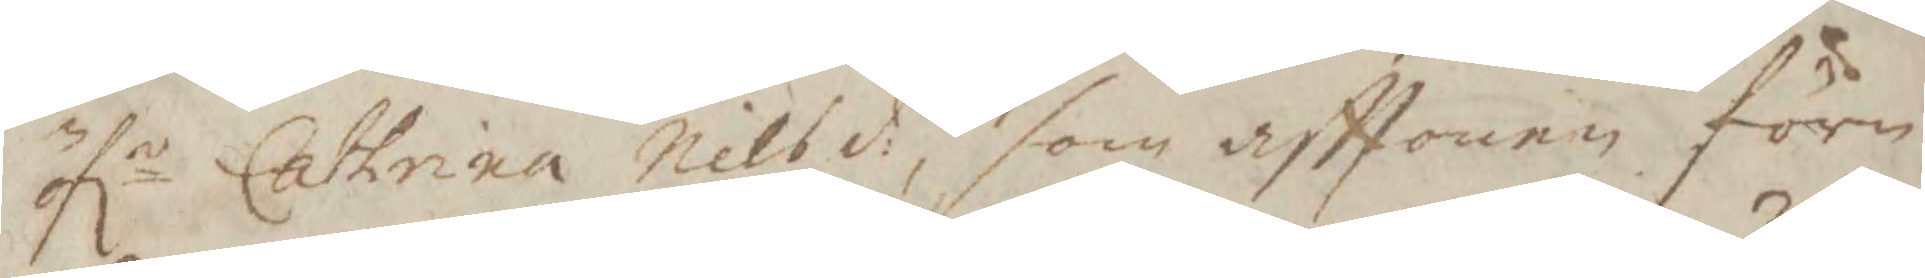öfr Cathrina Nils d: som afttonen före
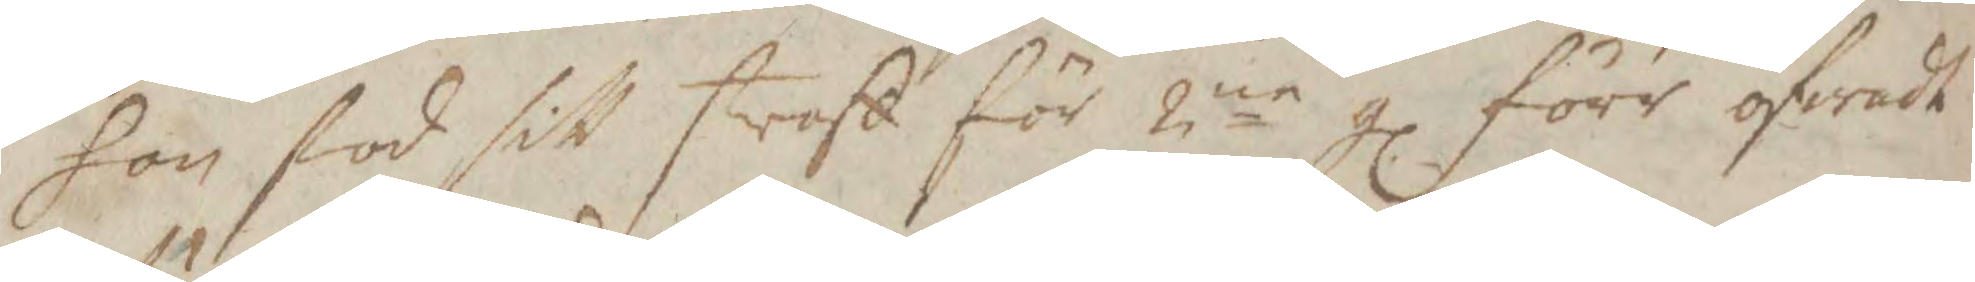hon stod sitt straff för 2ne gl före öfwadt
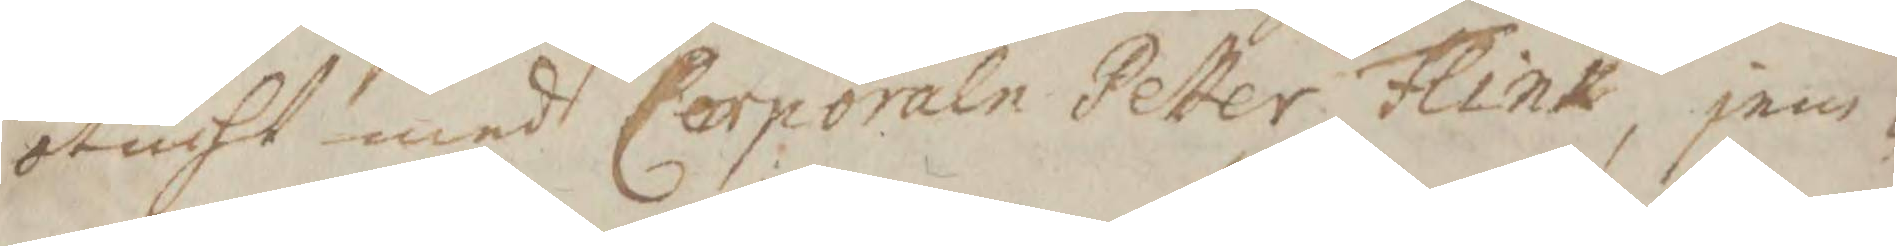otucht med Corpralen Petter Flink, jem¬
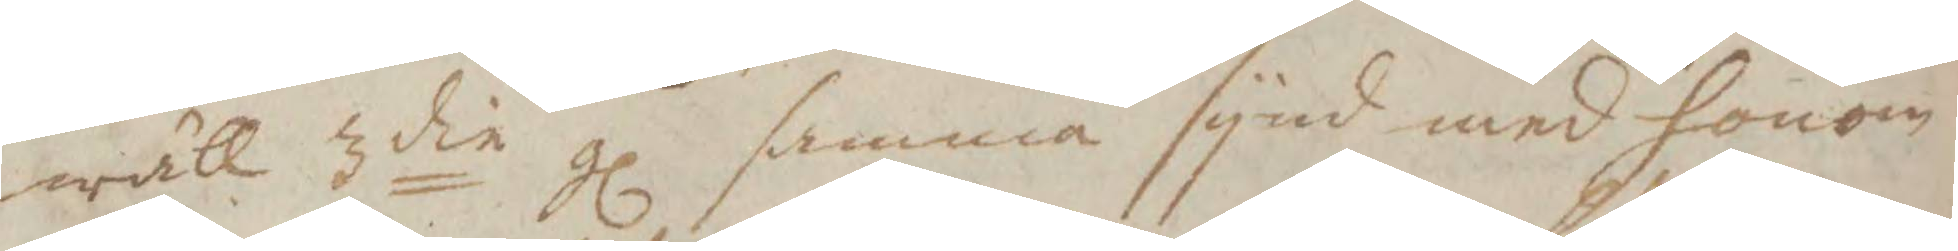wähl 3die gl samma synd med honom
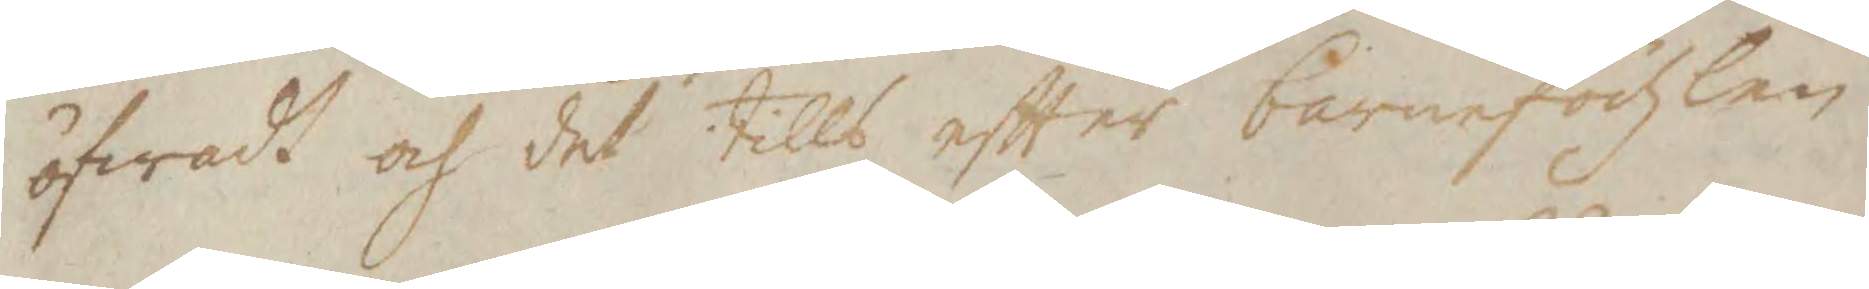öfwadt och det tills eftter barnefödzlen
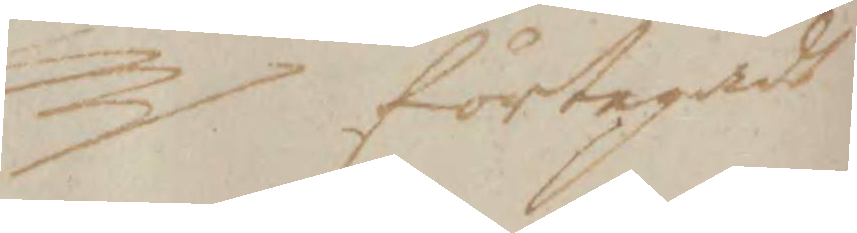företegadt
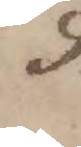9:
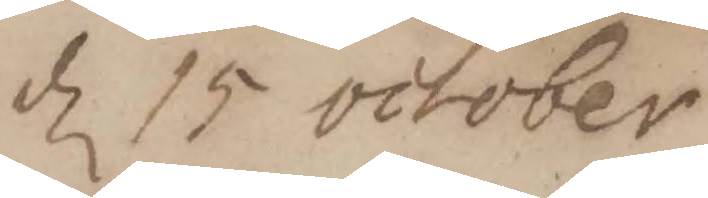d 15 october
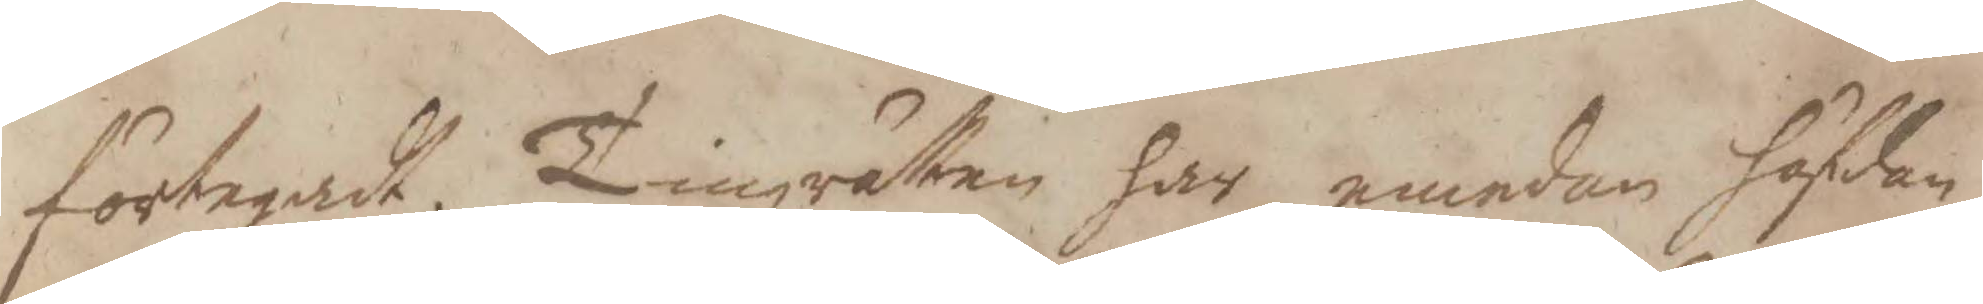förtegadt. Tingzrätten har emedan häfdan¬
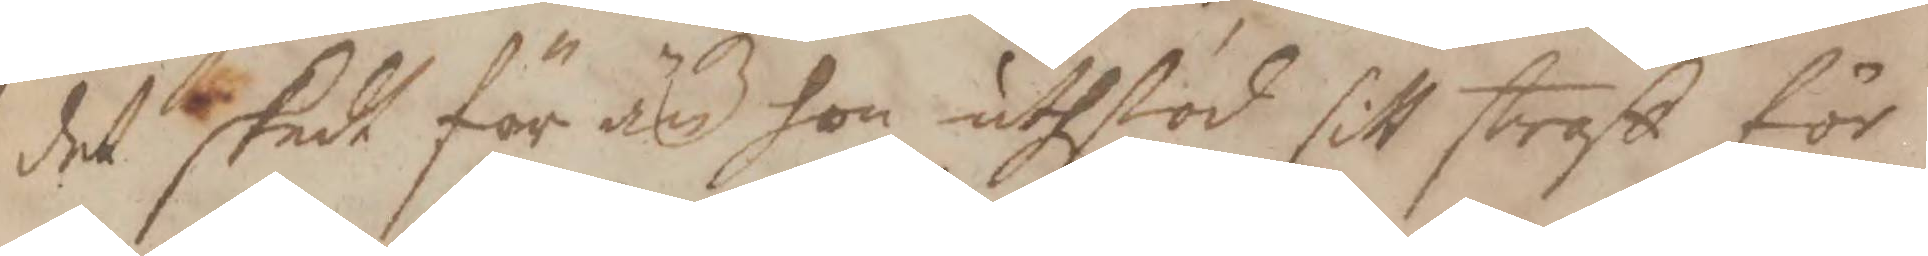det skedt för än hon uthstod sitt straff för
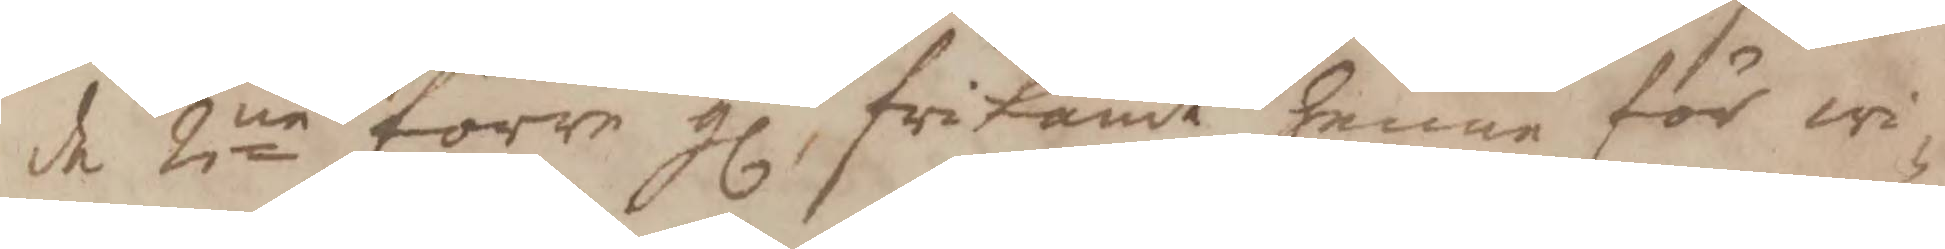de 2ne förre gl. frikändt henne för wi¬
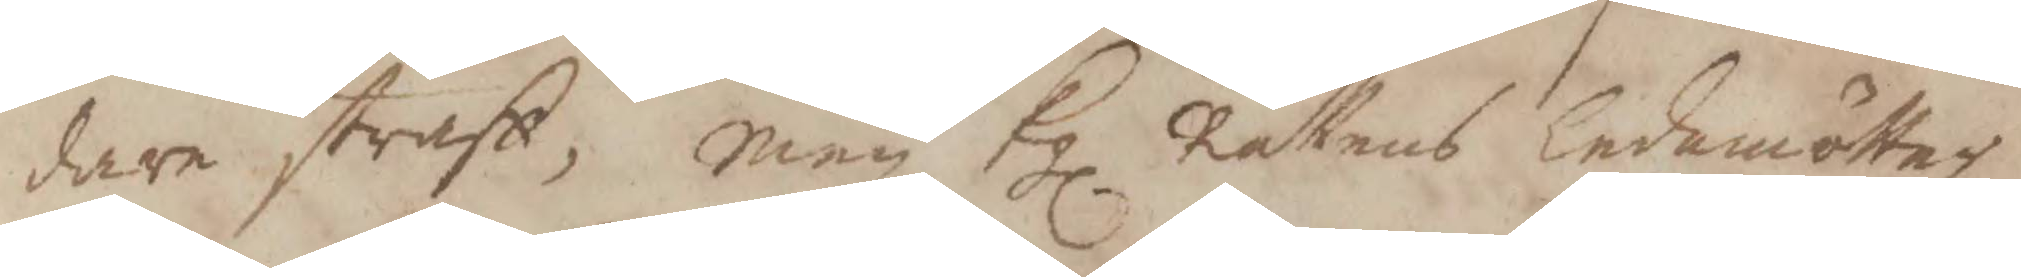dare straff, men Kl. Rättens ledamötter
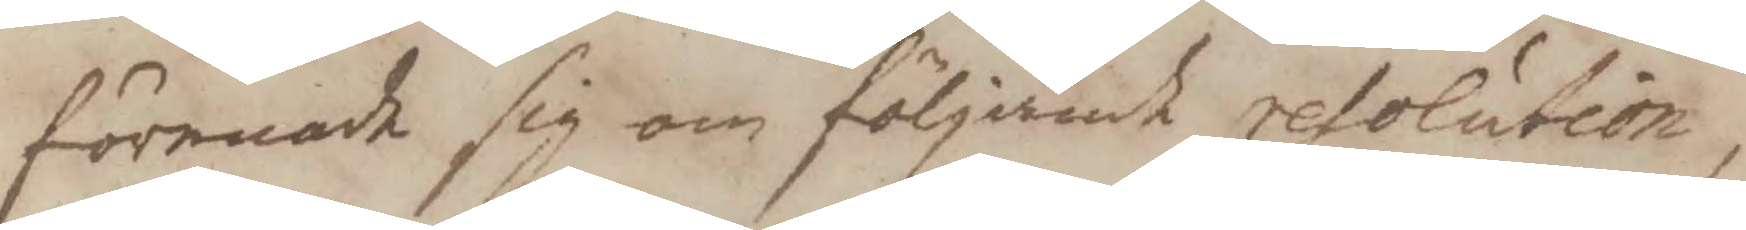förenade sig om följande resolution,
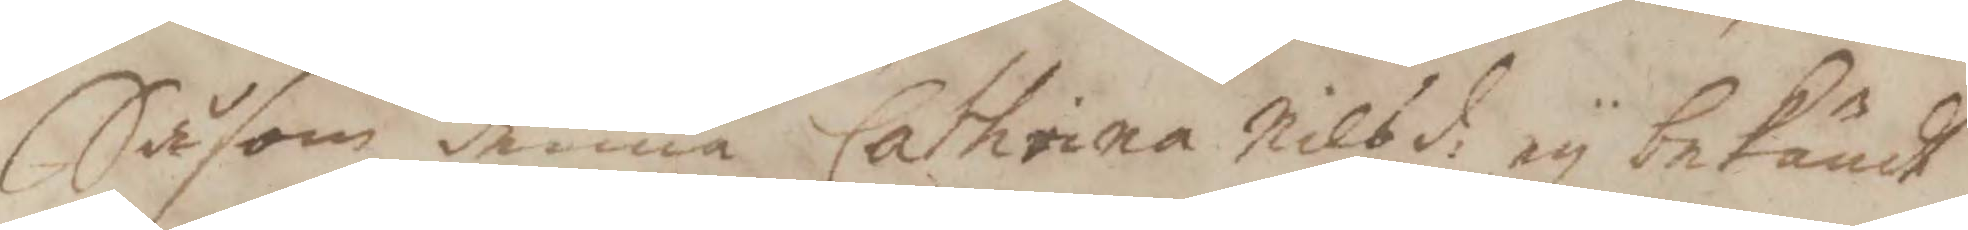Såsom denna Cathrina Nils d: ey bekändt
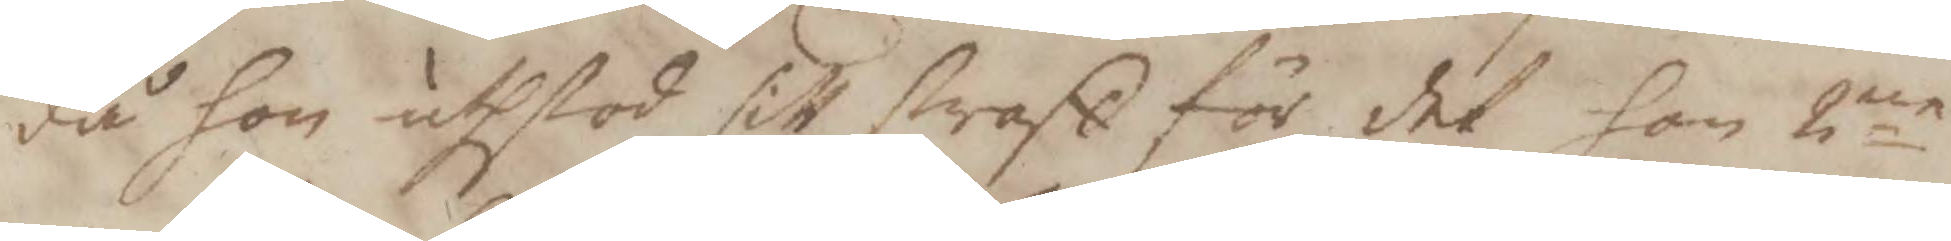då hon utstod sitt straff för det hon 2ne
